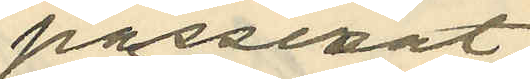passerat
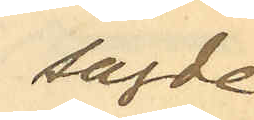sagde
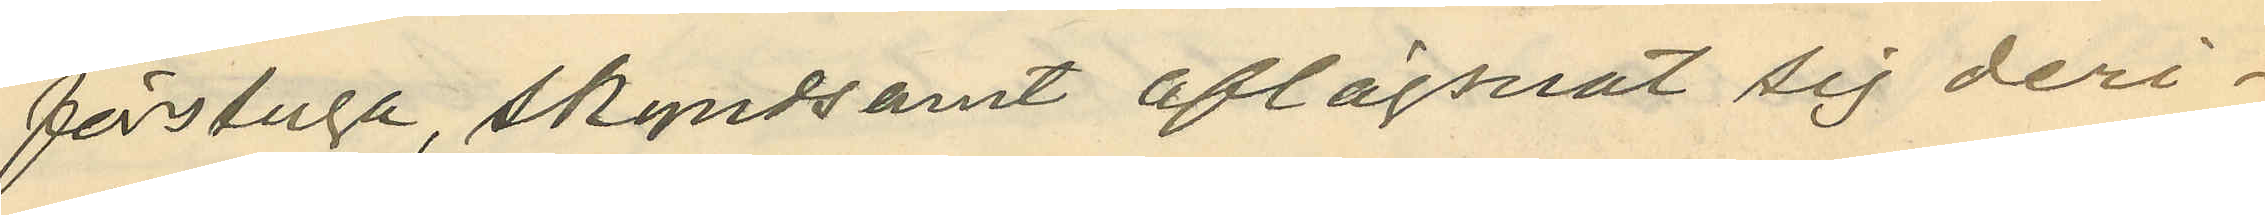förstuga, skyndsamt aflägsnat sig deri¬
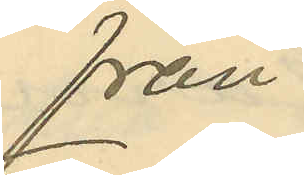från;
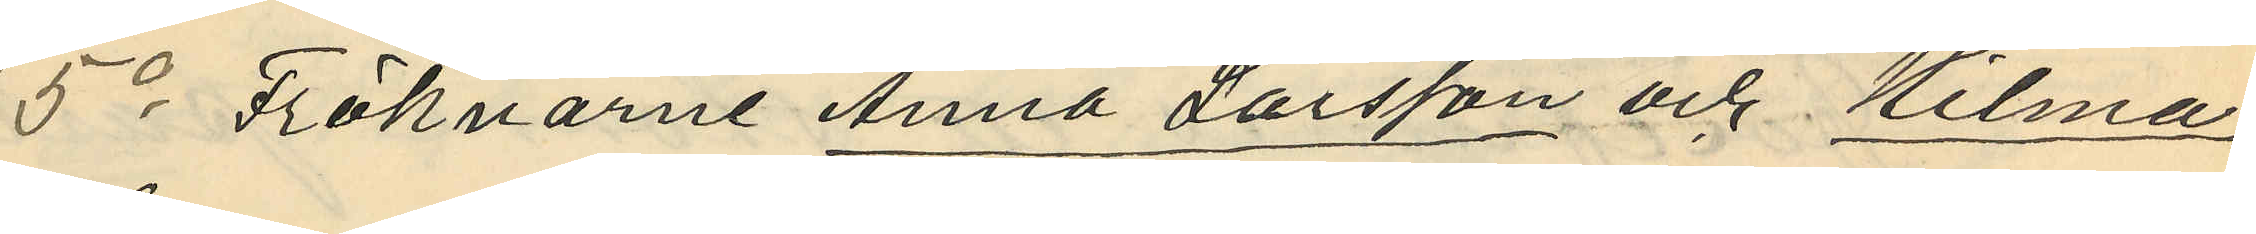5o Fröknarne Anna Larsson och Hilma
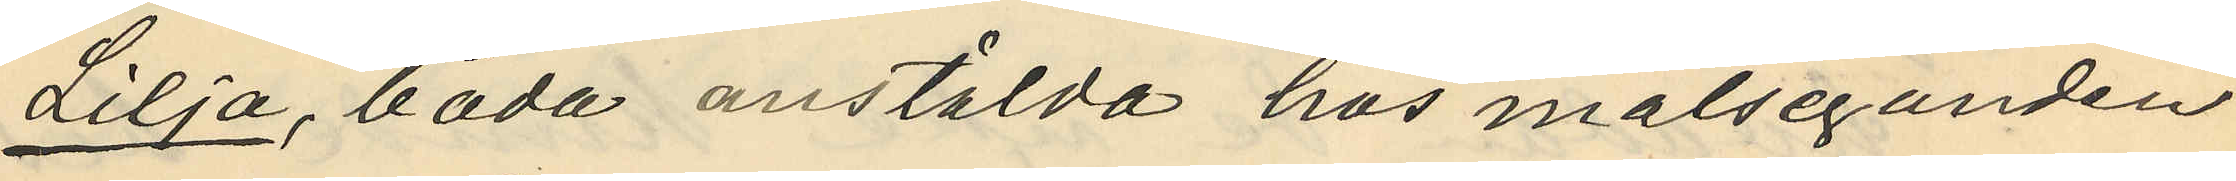Lilja, båda anstälda hos målseganden
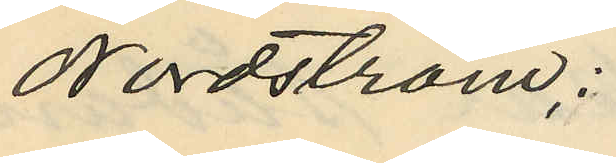Nordström;
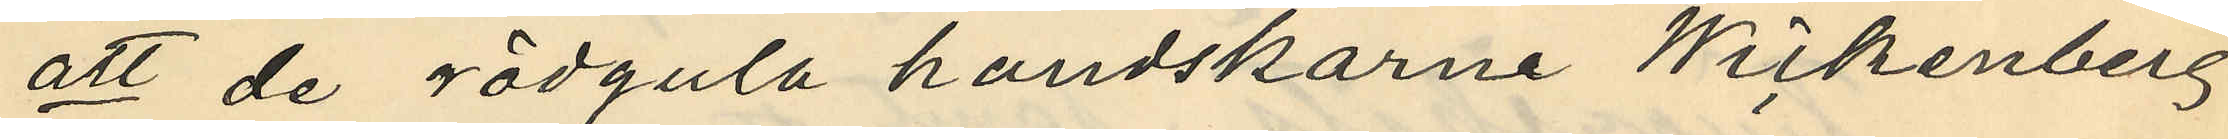att de rödgula handskarne Wickenberg
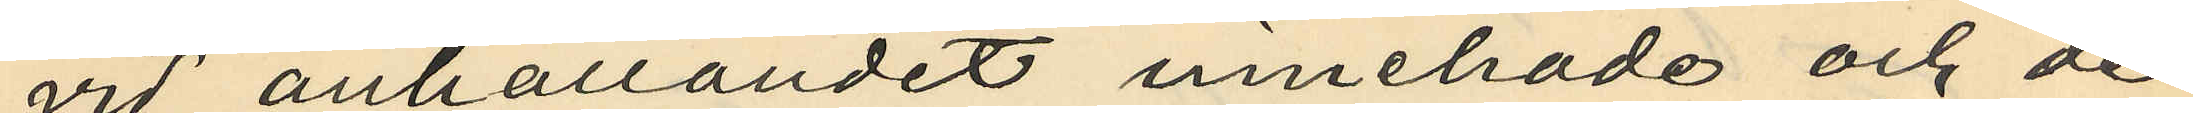vid anhållandet innehade och de
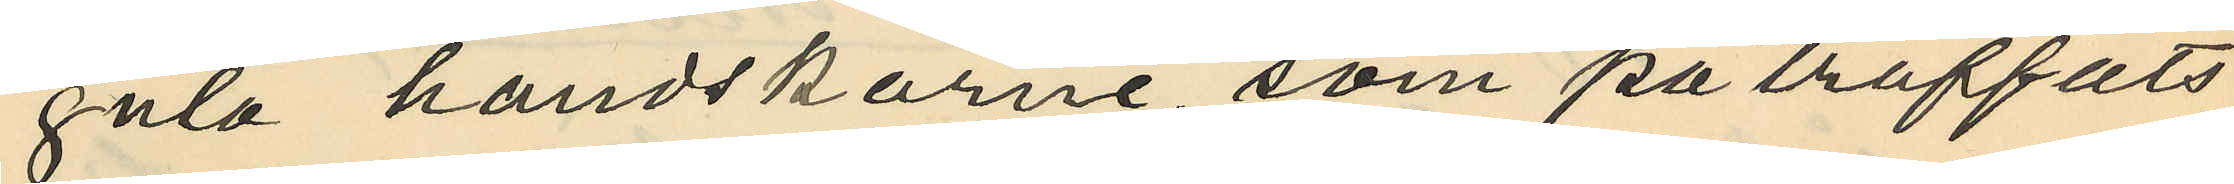gula handskarne, som påträffats
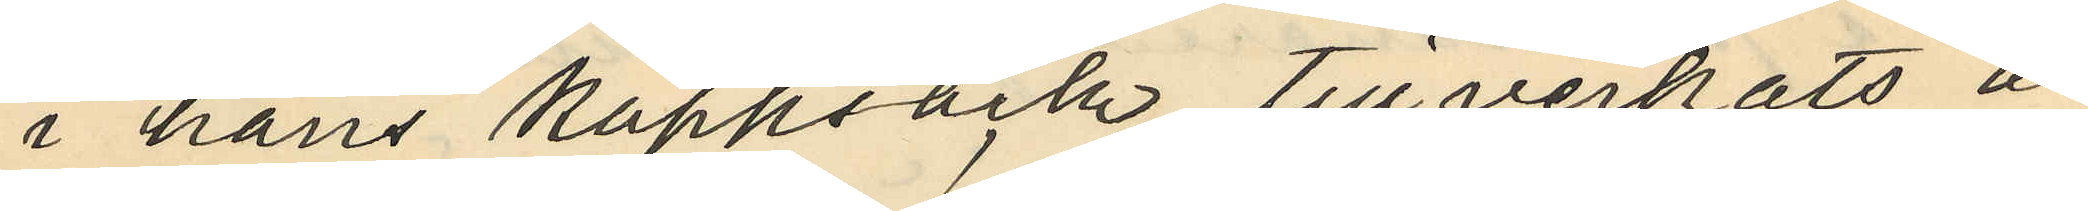i hans kappsäck, tillverkats å
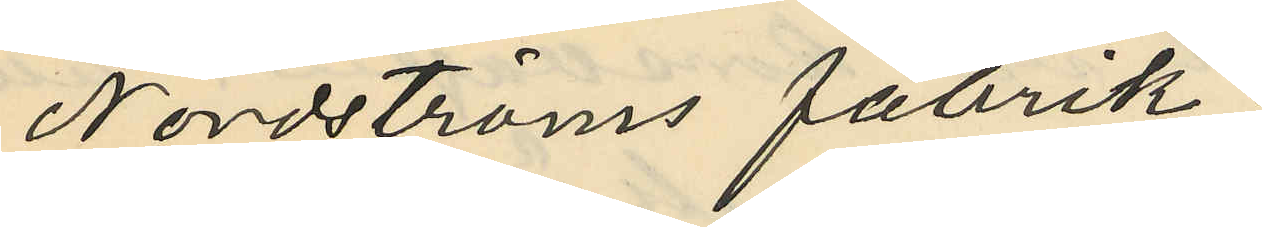Nordströms fabrik;
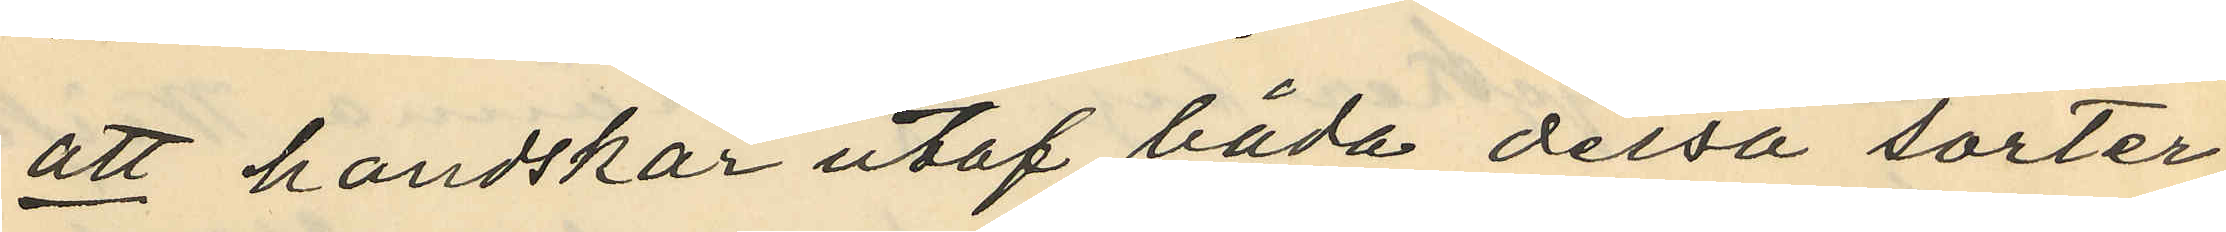att handskar utaf båda dessa sorter
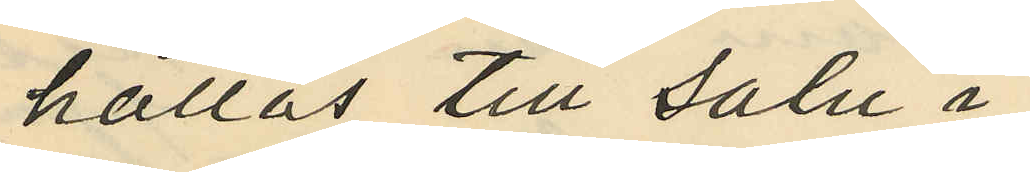hållas till salu i
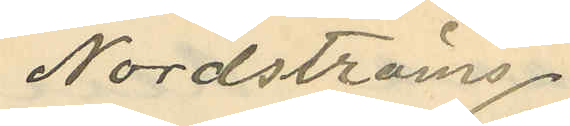Nordströms
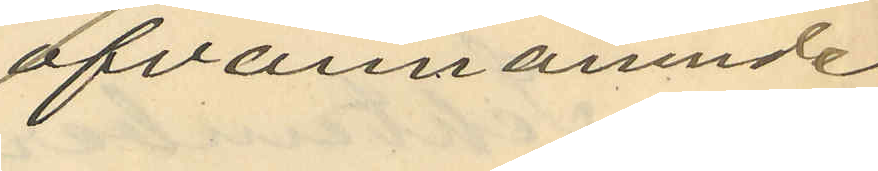ofvannämnde
